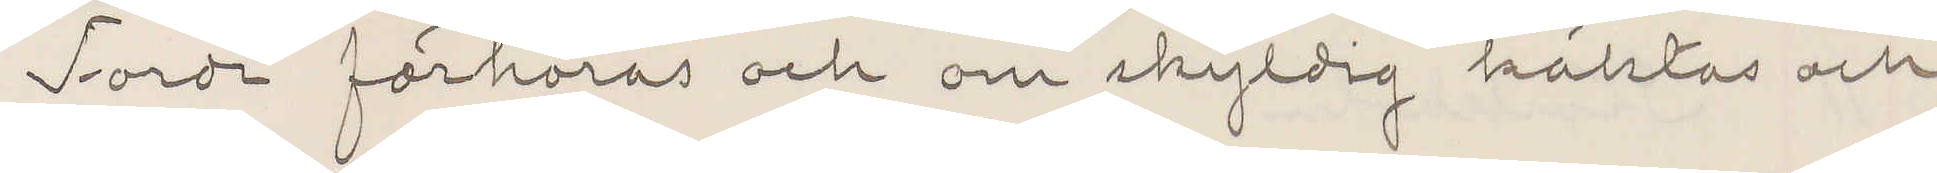Torde förhöras och om skyldig häktas och
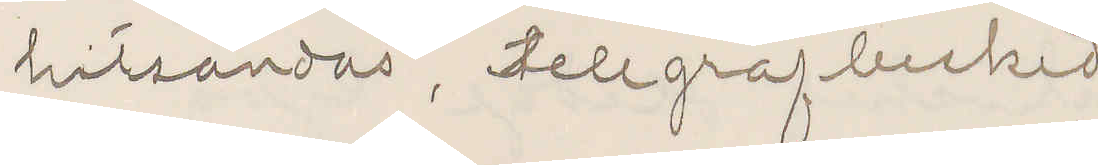hitsändas, telegrafbesked
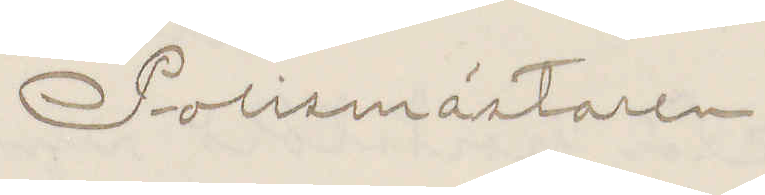Polismästaren.
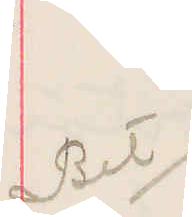Bet
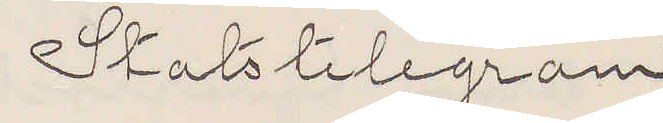Statstelegram
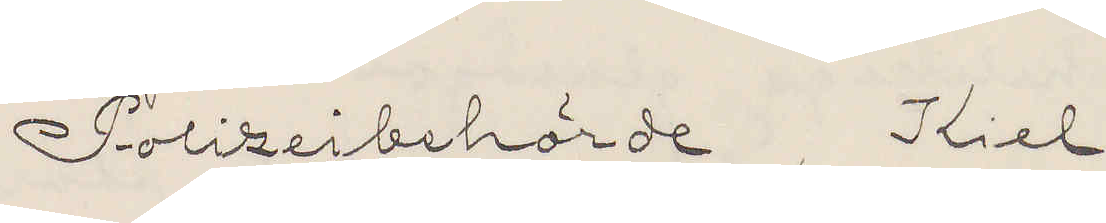Polizeibehörde Kiel
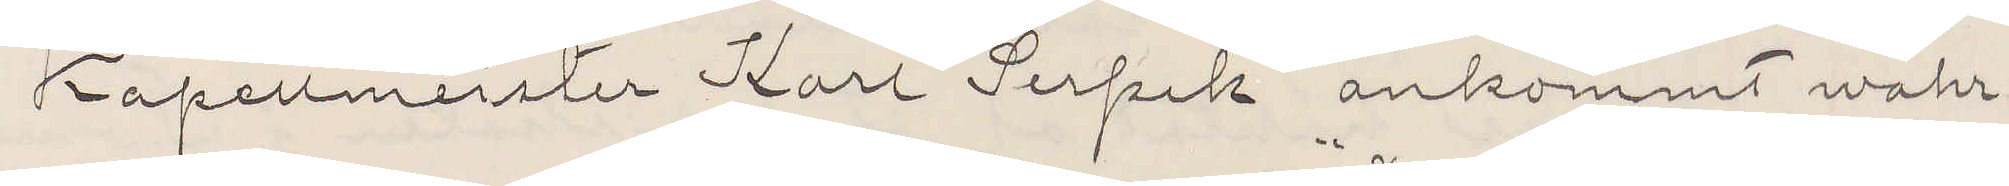Kapellmeister Karl Serpik ankommt wahr¬
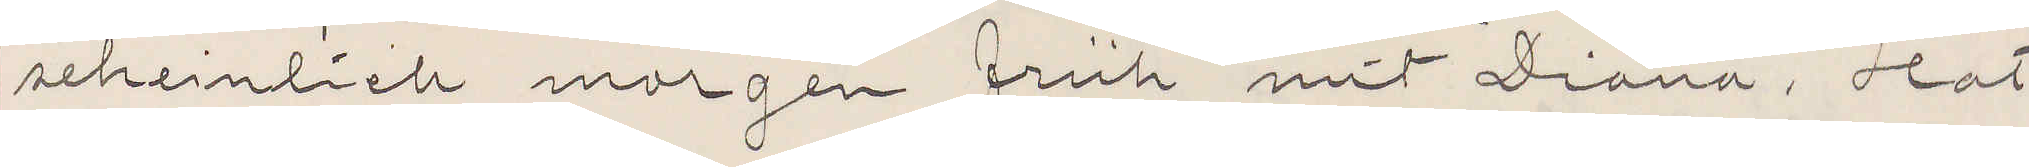seheinlich morgen früh mit "Diana", Hat
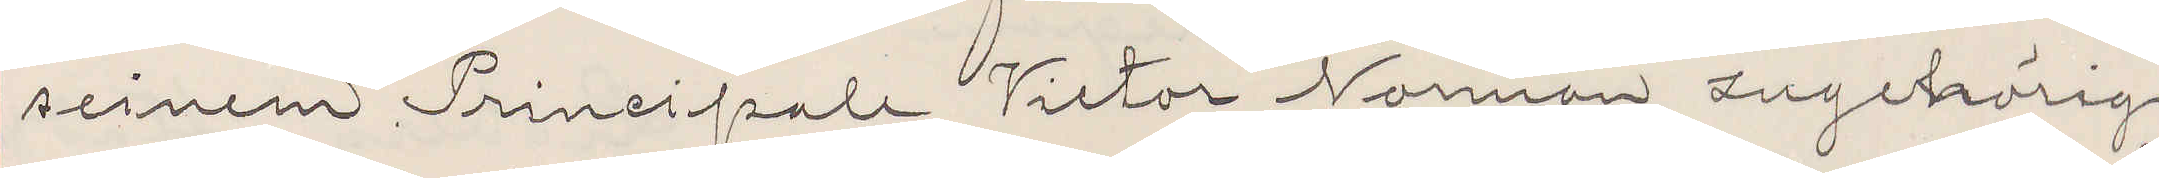seinem Principale Victor Norman zugehörig
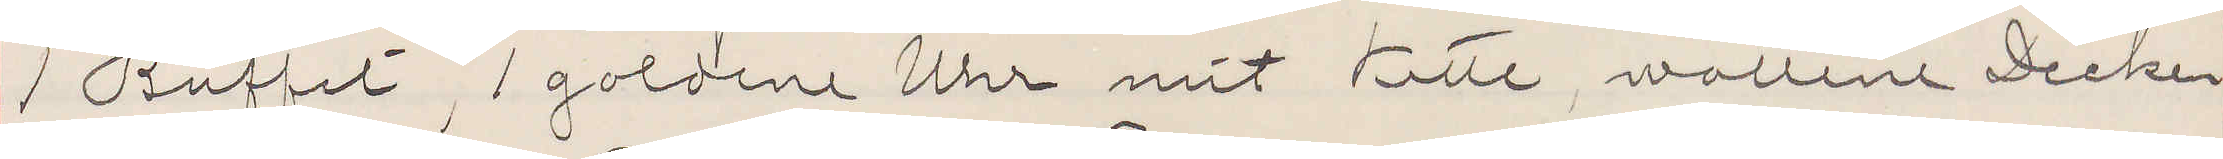1 Buffet, 1 goldene Uhr mit Kitte, wollene Decke...
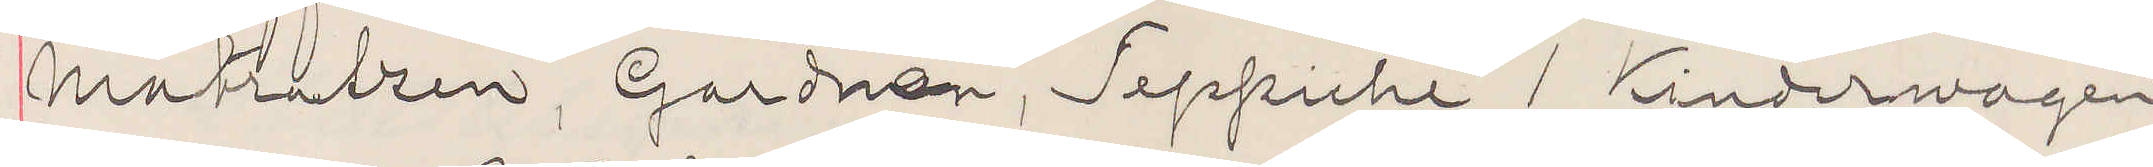Matratzen, Gardinen, Teppiche, 1 Kinderwagen
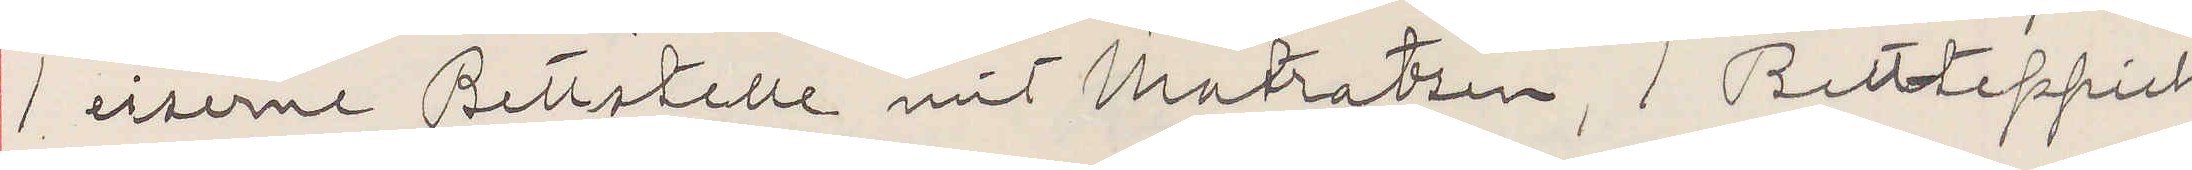1 eiserne Bettstelle mit Matratzen, 1 Bettteppich,
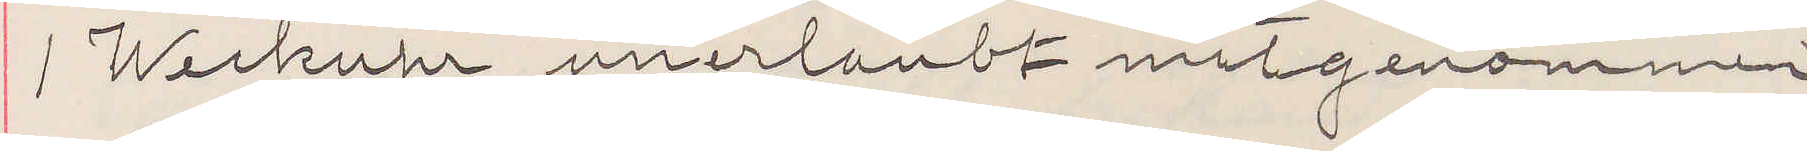1 Werkuhr unerlaubt mitgenommen.
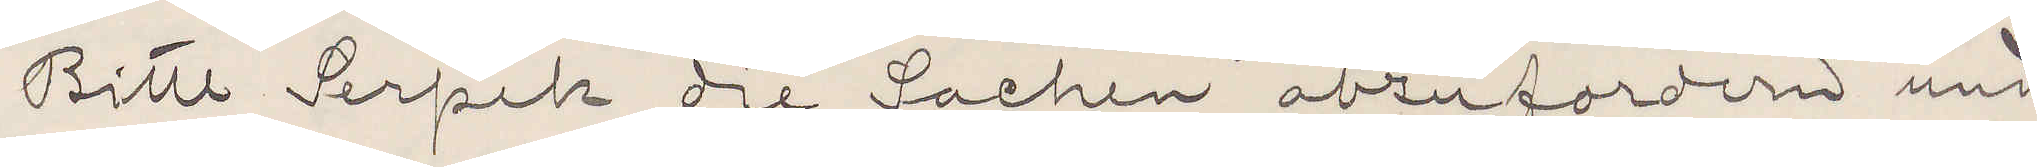Bitte Serpik die Sachen abzufordern und
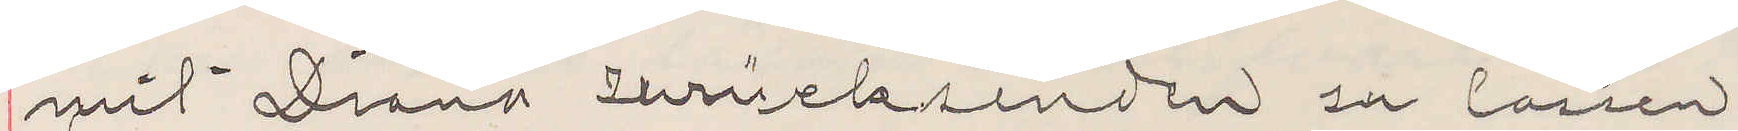mit Diana zurücksenden zu lassen
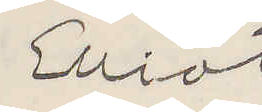Elliot
